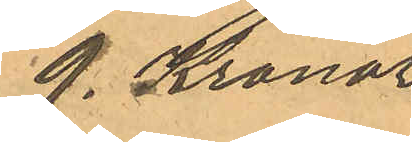9. Kronor.
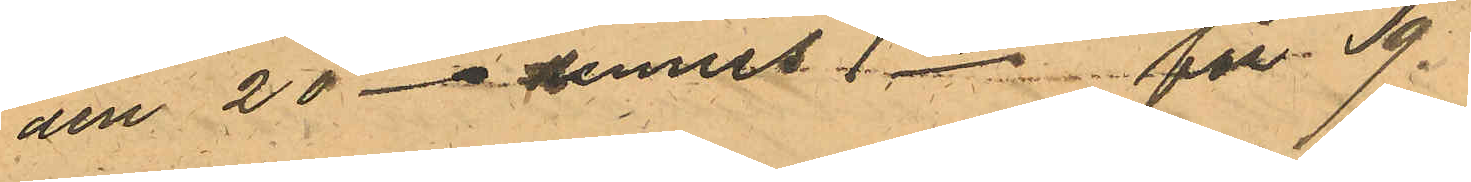den 20 -" dennes 1 do för 9. 
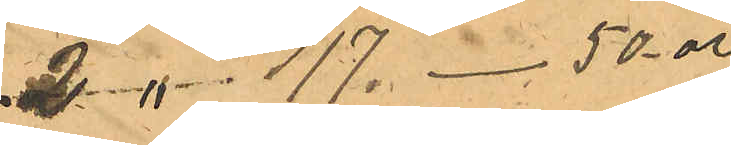2 " 17. - 50 öre
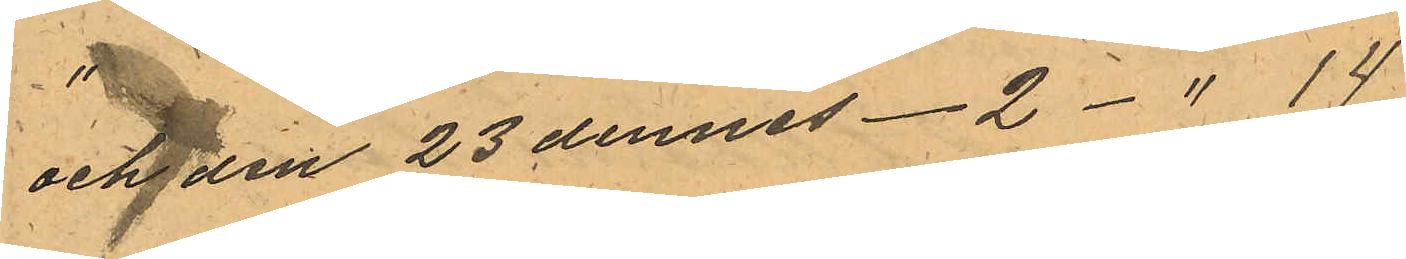och den 23 dennes - 2- " 14
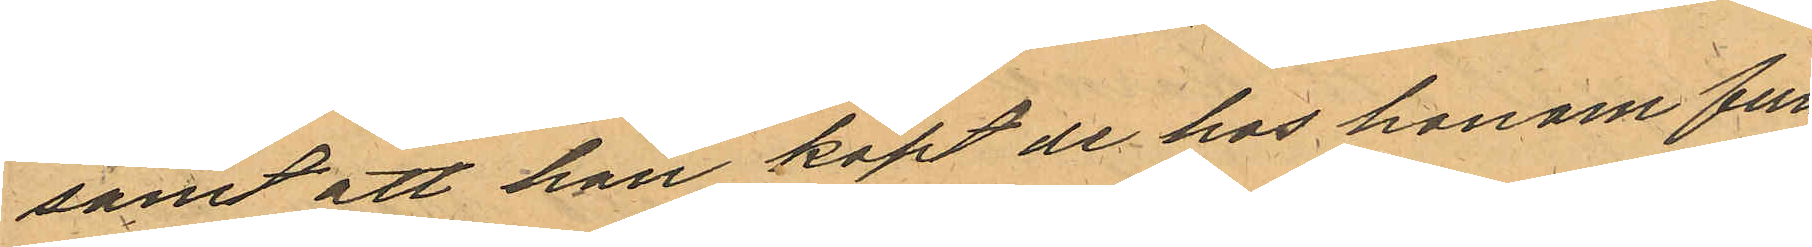samt att han köpt de hos honom fun¬
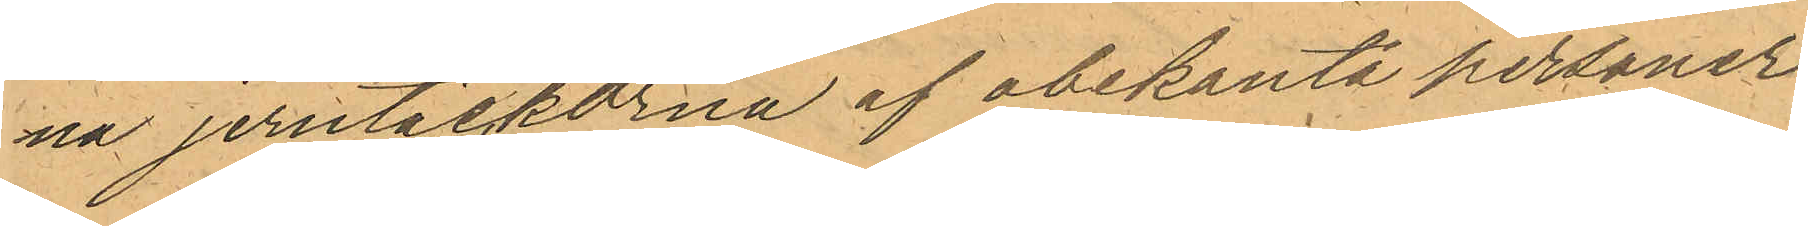na jerntackorna af obekanta personer.
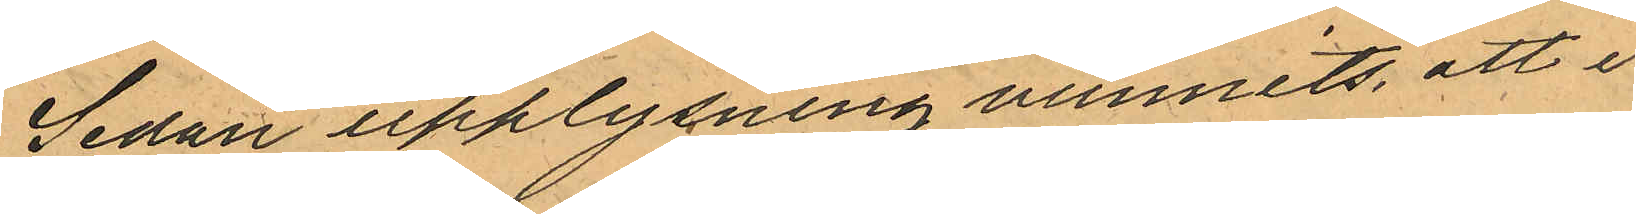Sedan upplysning vunnits att i
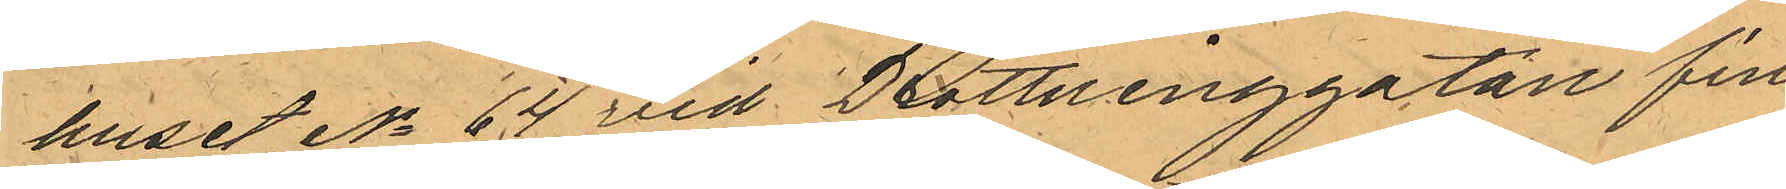huset No 64 vid Drottninggatan fin
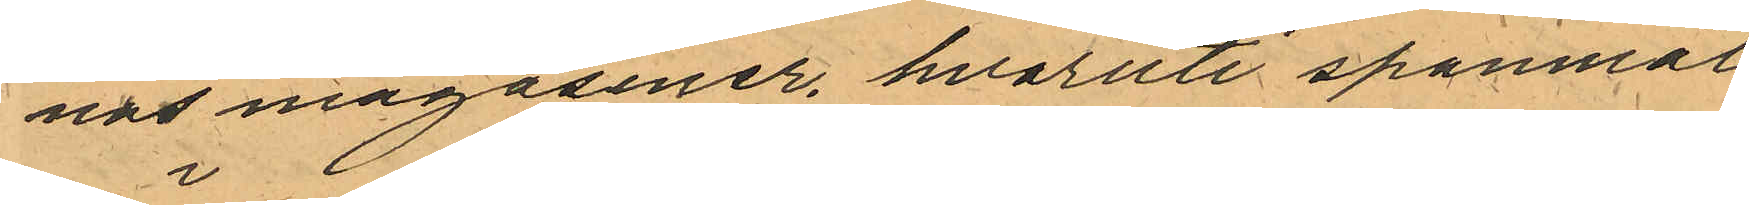nas magasiner, hvaruti spanmål
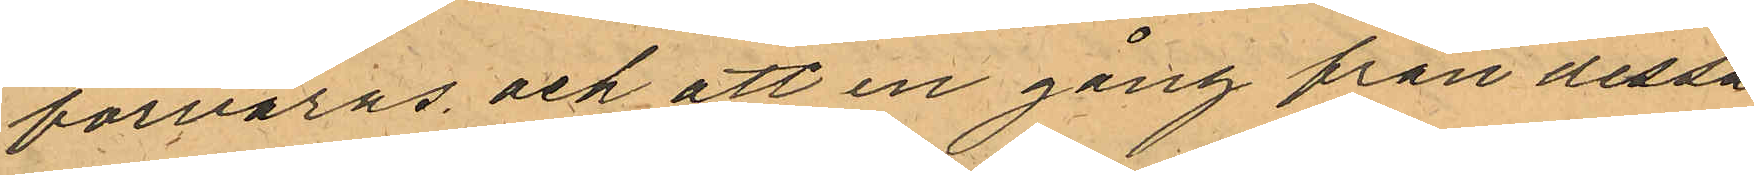förvaras och att en gång från dessa
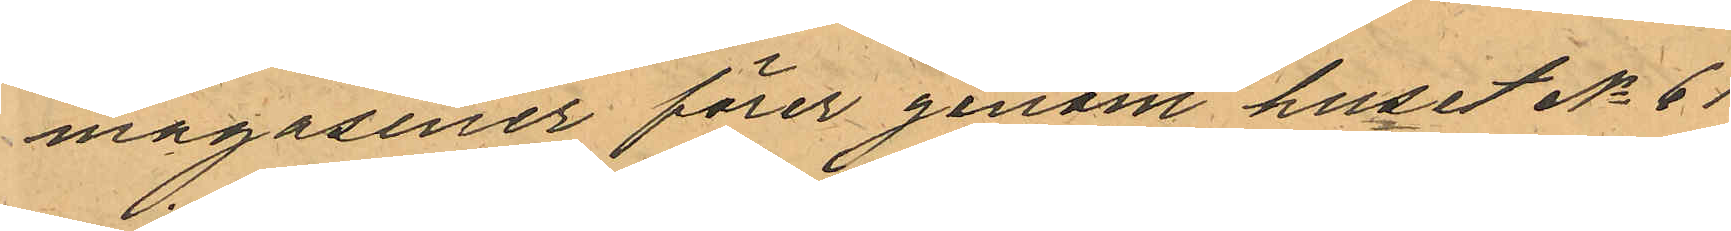magasiner förer genom huset No 61
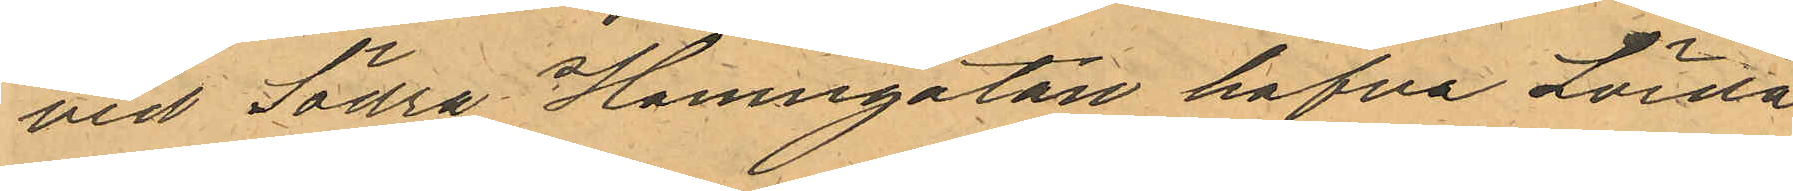vid Södra Hamngatan hafva Lörda¬
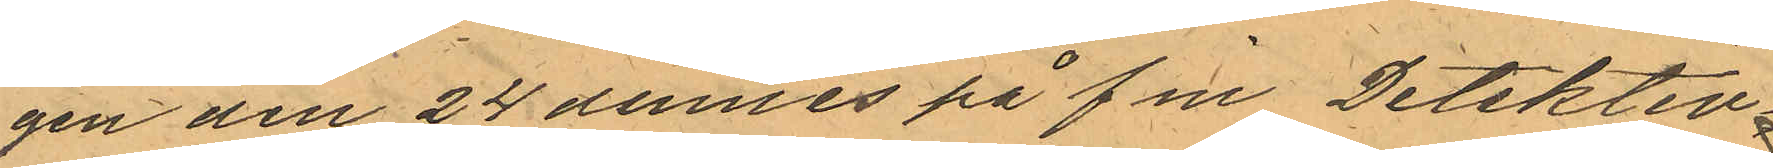gen den 24 dennes på f m  Detektiv¬
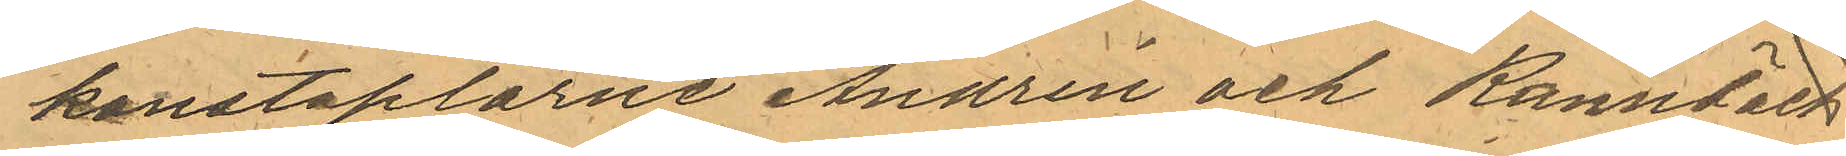konstaplarne Andrén och Rönnbäck
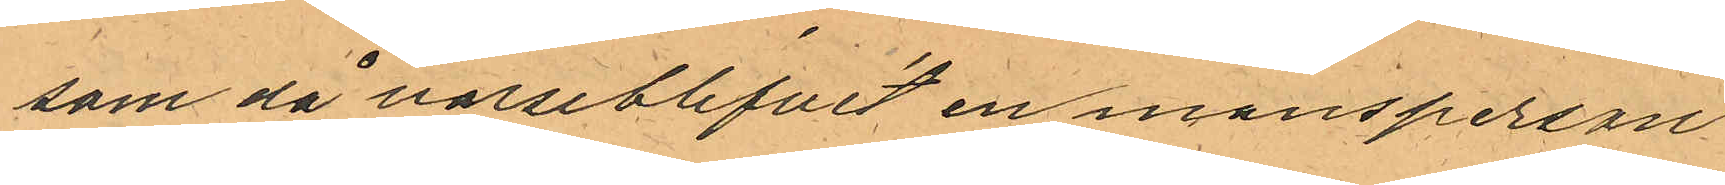som då varseblifvit en mansperson
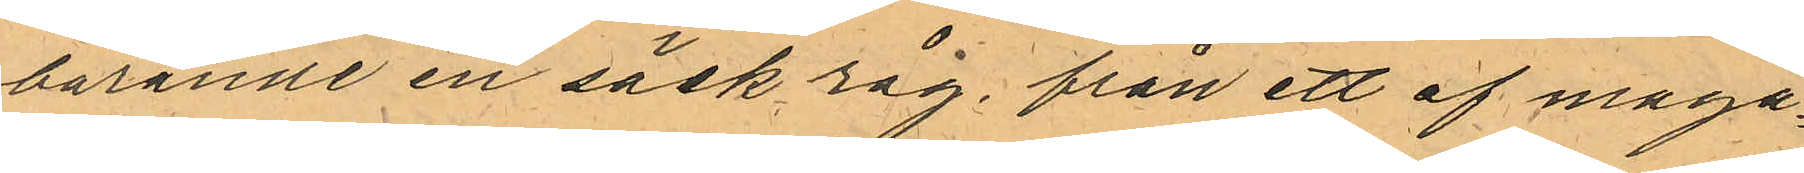bärande en säck råg, från ett af maga¬
